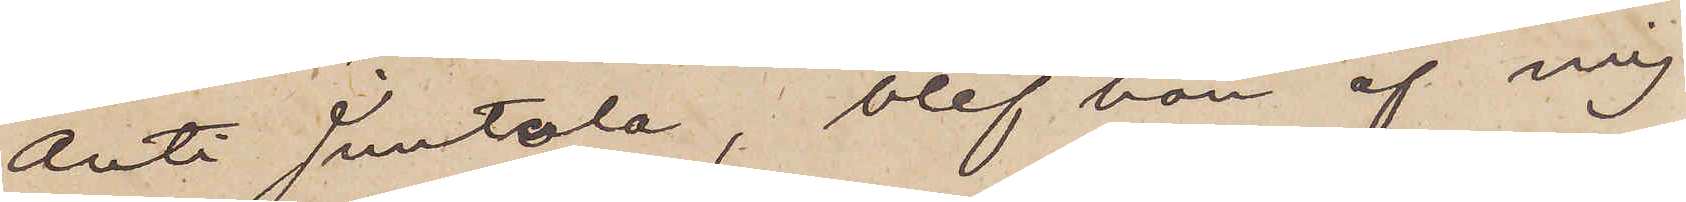Anti Juntula, blef han af mig
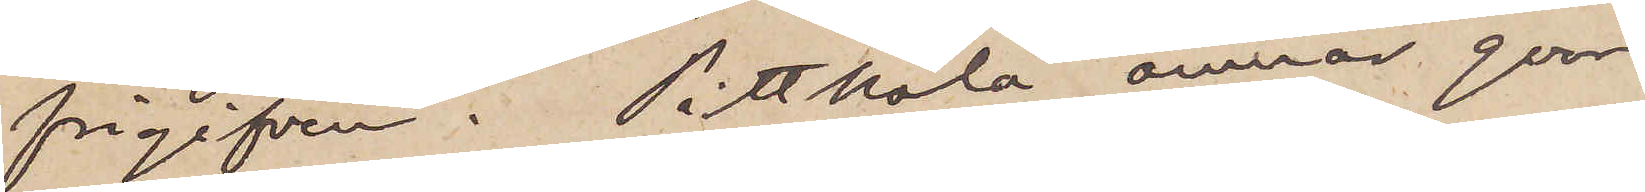frigifven. Pittkålä ämnar qvar¬
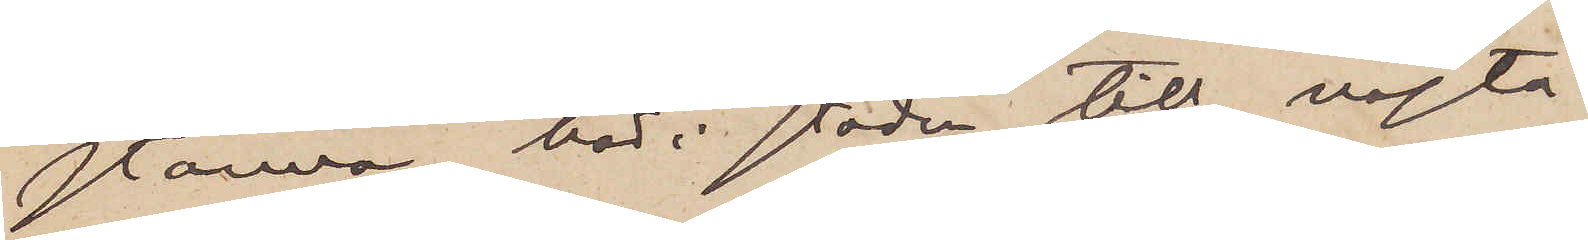stanna här i staden till nästa
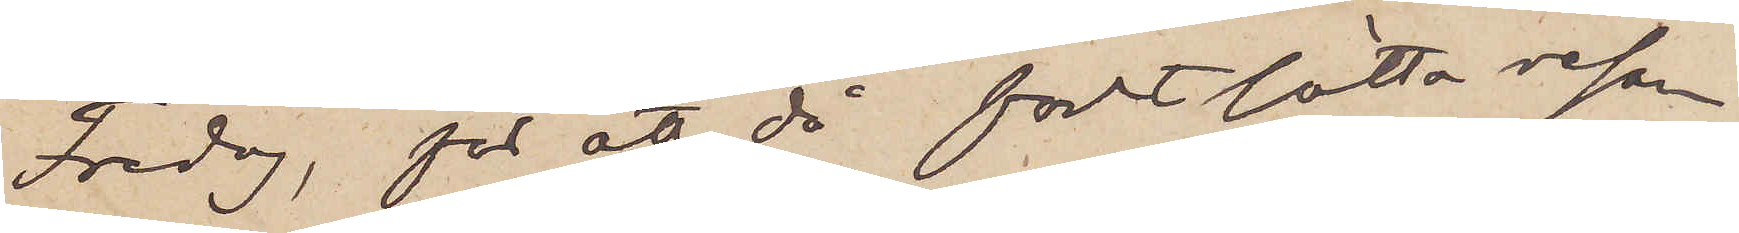Fredag, för att då förtsätta resan
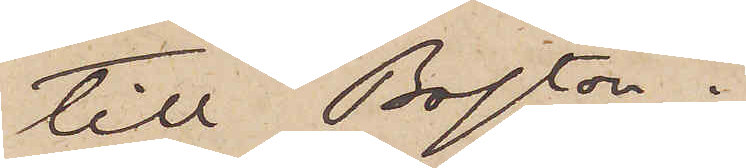till Boston.
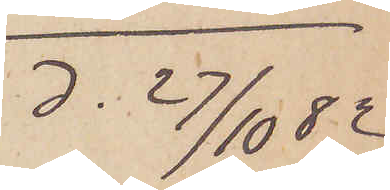d. 27/10 82
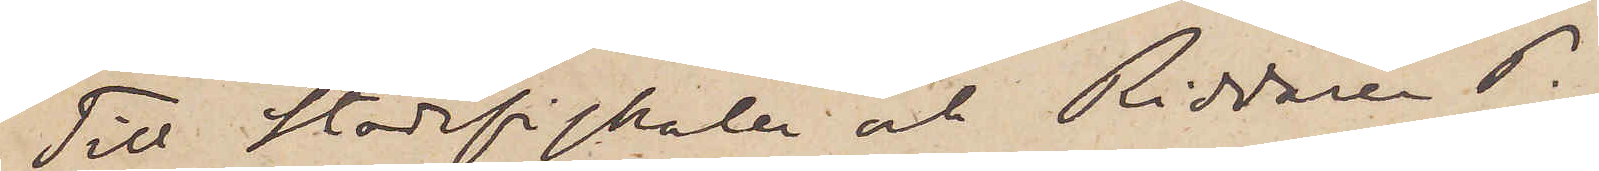Till Stadsfiskalen och Riddaren P.
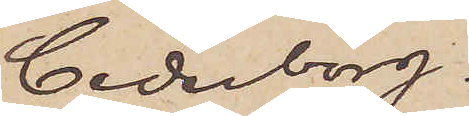Cederborg.
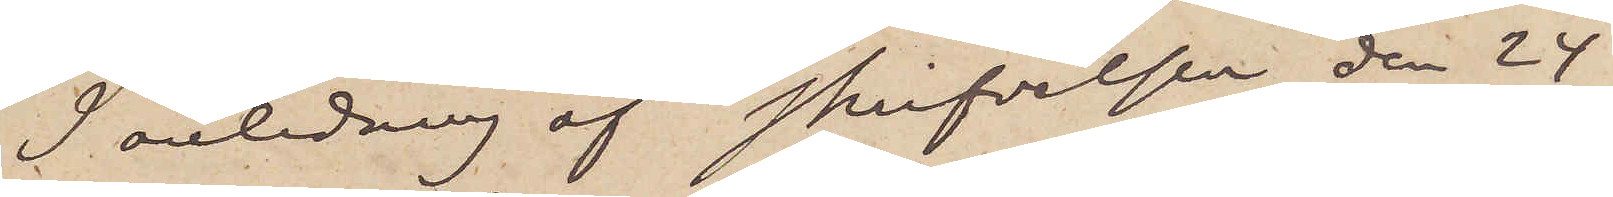I anledning af skrifvelsen den 24
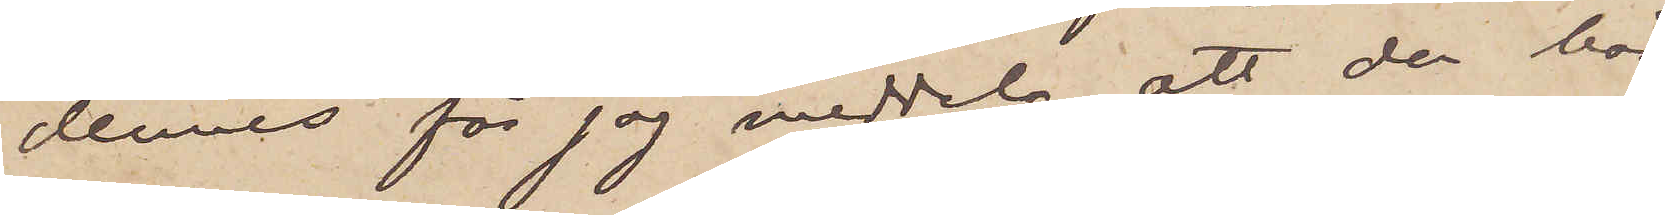dennes får jag meddela, att den här
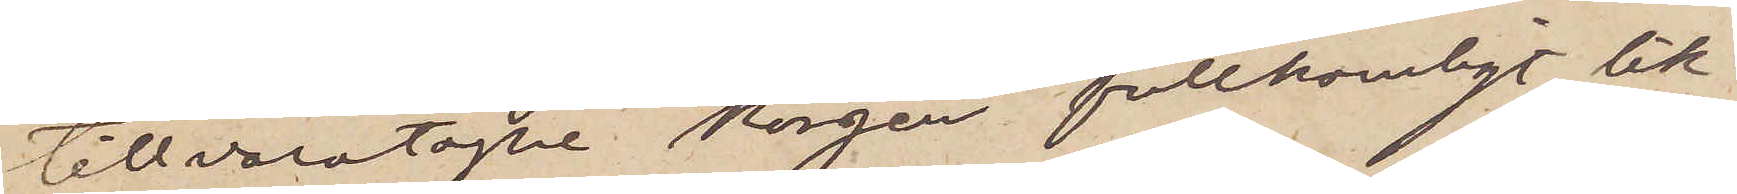tillvaratagne korgen fullkomligt lik¬
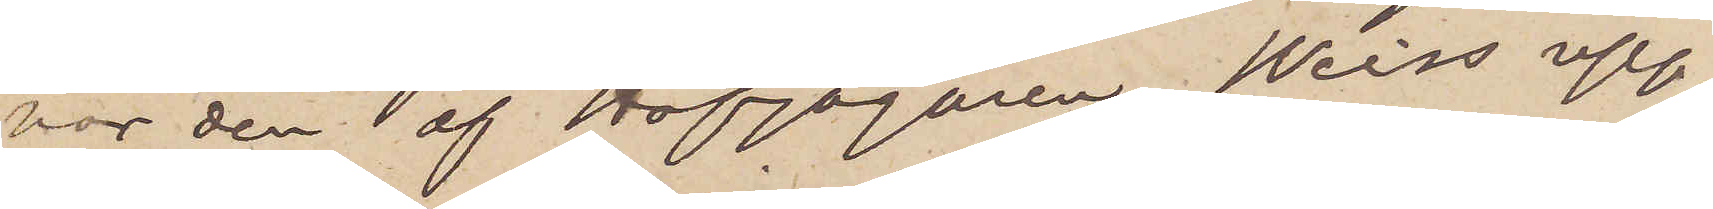nar den  af Hofjägaren Weiss upp¬
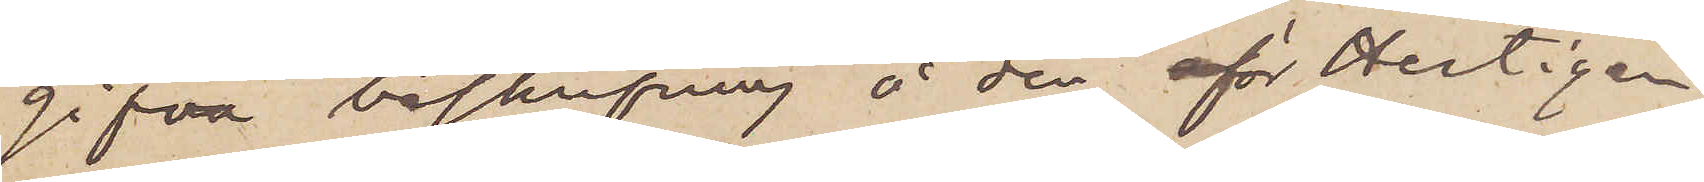gifva beskrifning å den för Hertigen
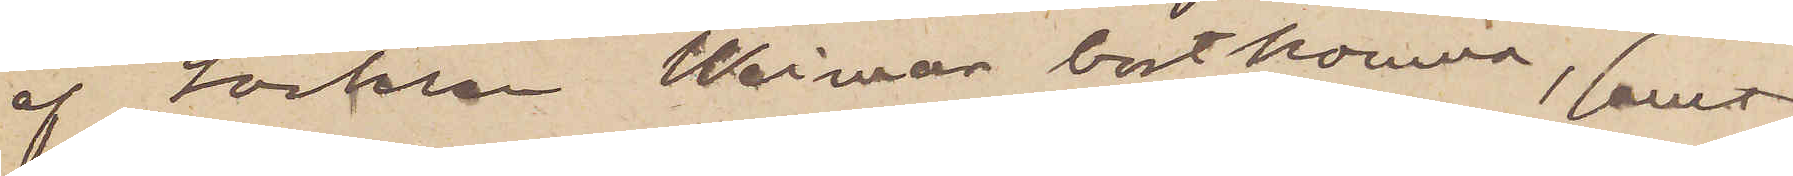af Sachsen Weimar bortkomma, samt
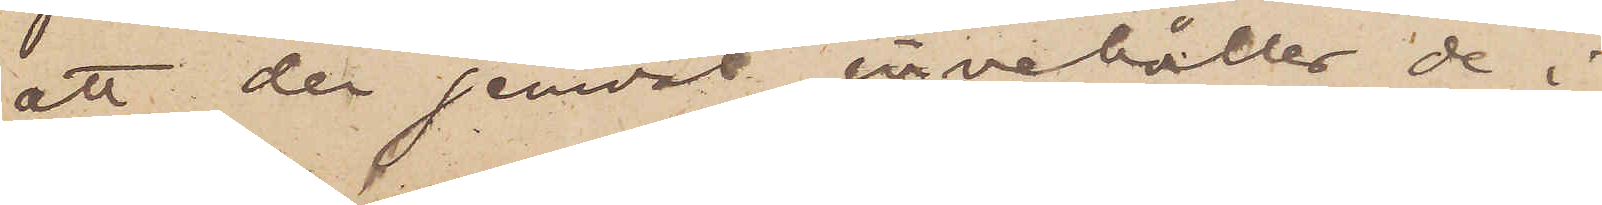att den jemväl innehåller de i
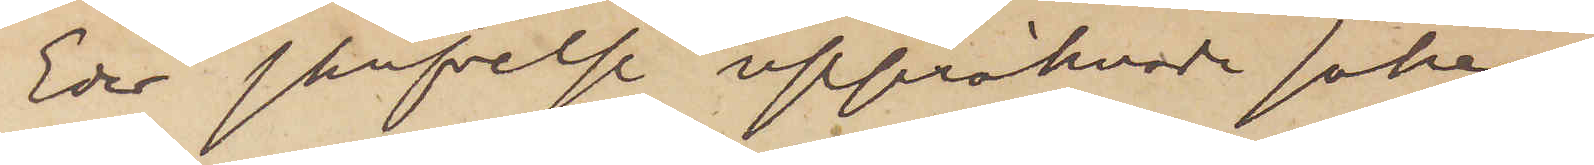Eder skrivelse uppräknade saker,
